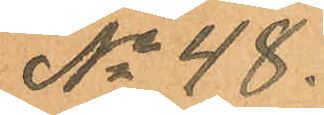No 48.
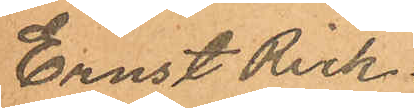Ernst Rick¬
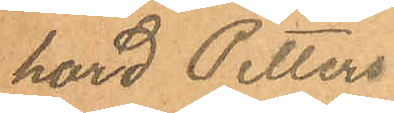hard Petters¬
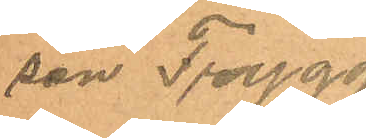son Trygg
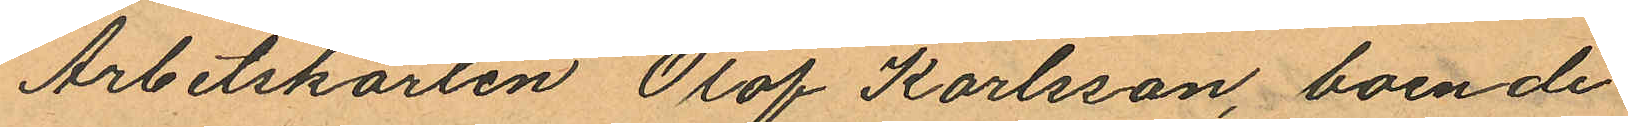Arbetskarlen Olof Karlsson, boende
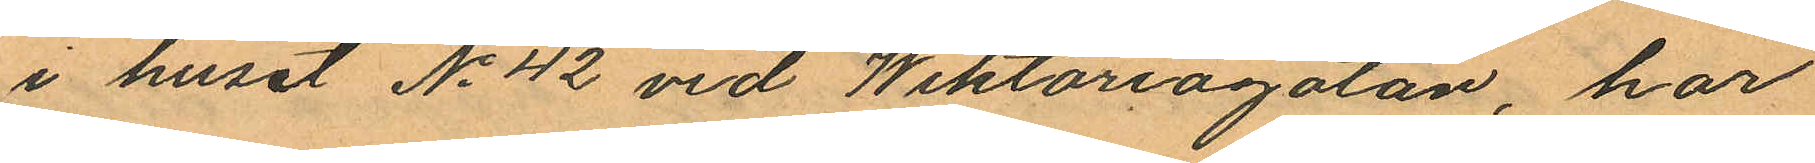i huset No 42 vid Wiktoriagatan, har
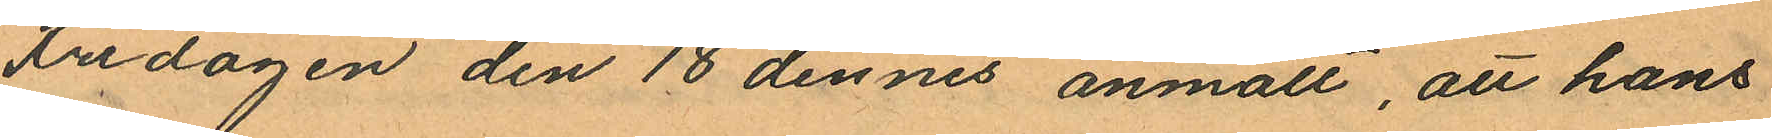Fredagen den 18 dennes anmält, att hans
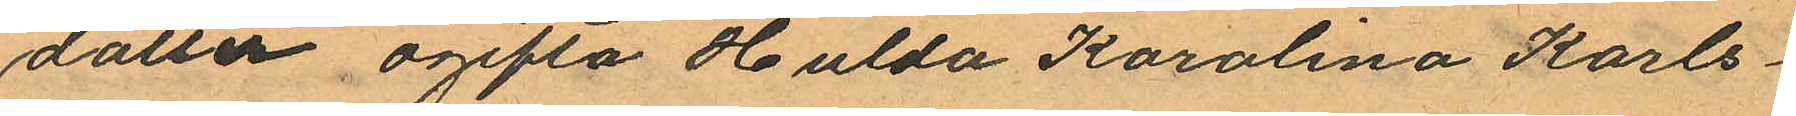dotter ogifta Hulda Karolina Karls¬
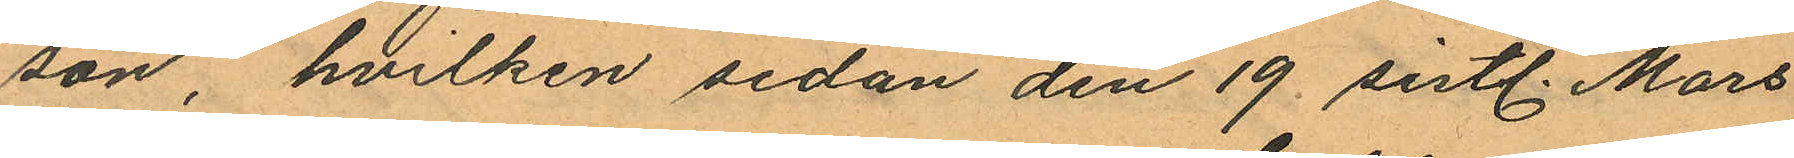son, hvilken sedan den 19 sistl. Mars
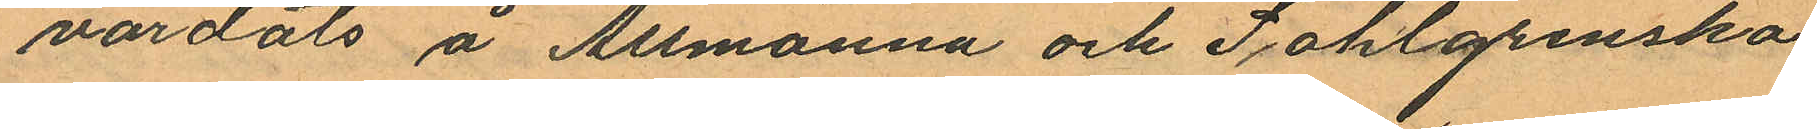vårdats å Allmänna och Sahlgrenska
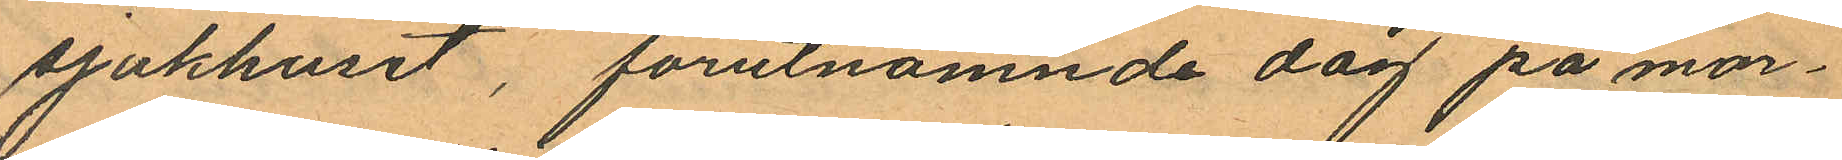sjukhuset, förutnämnde dag på mor¬
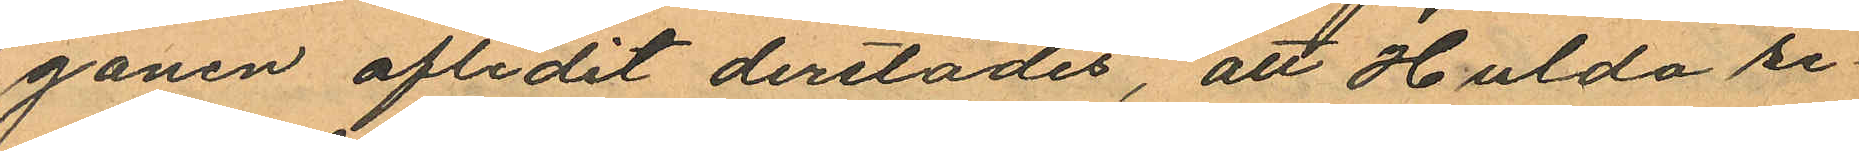gonen aflidit derstädes, att Hulda re¬
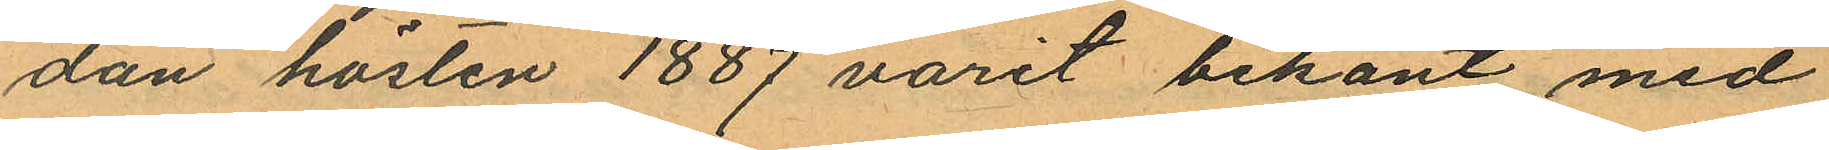dan hösten 1887 varit bekant med
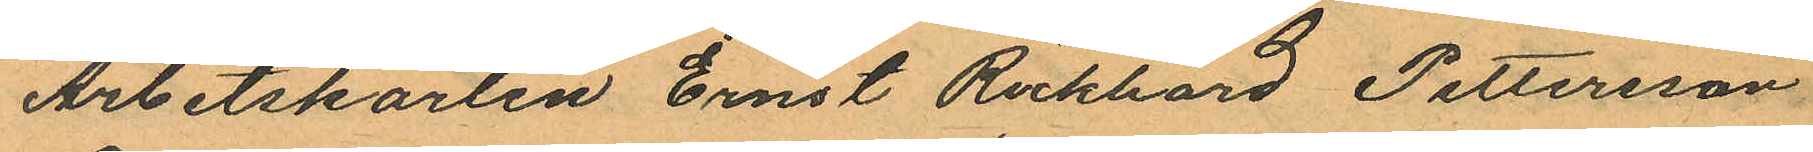Arbetskarlen Ernst Rickhard Pettersson
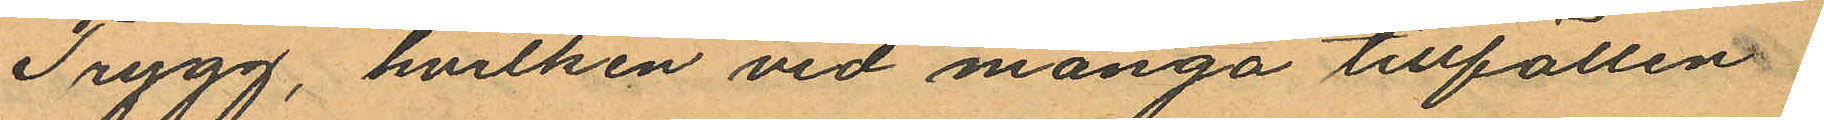Trygg, hvilken vid många tillfällen
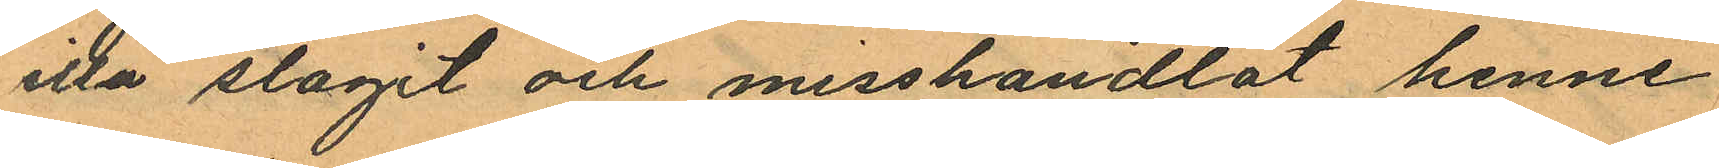illa slagit och misshandlat henne
